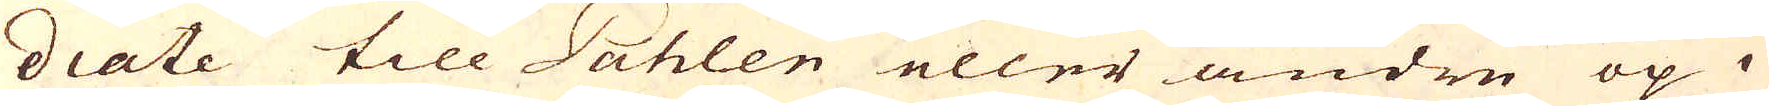diate till Påhlen eller andre op i
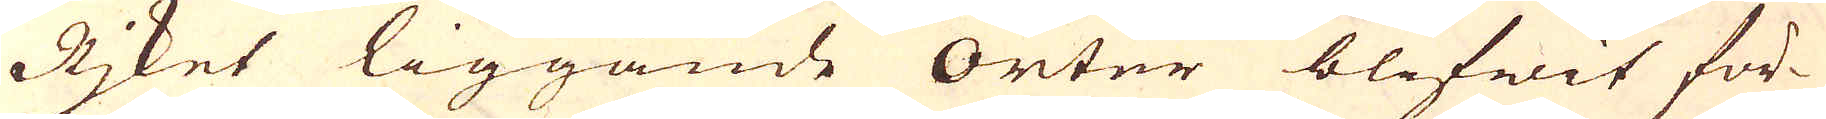Rjket liggande orter blifwit för-
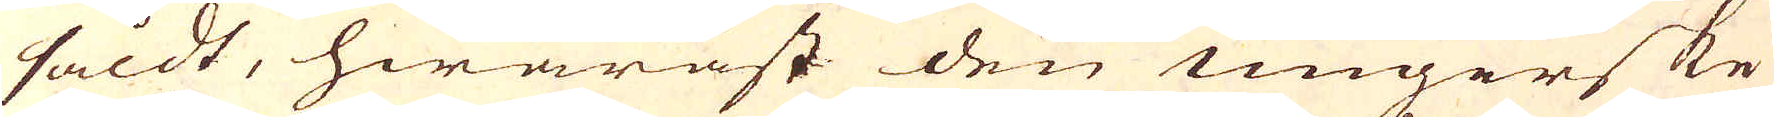såldt, hwaräst den ungerske
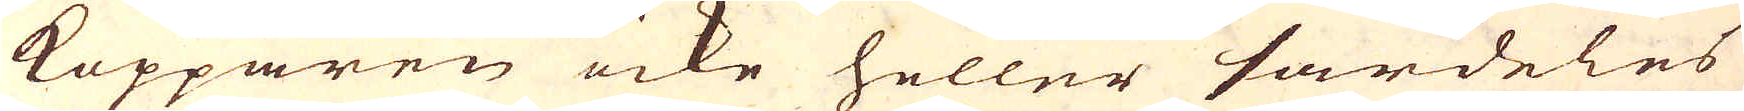kopparen icke heller särdeles
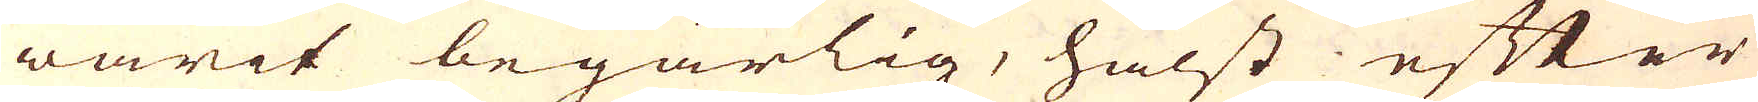warit begärlig, hälst efter
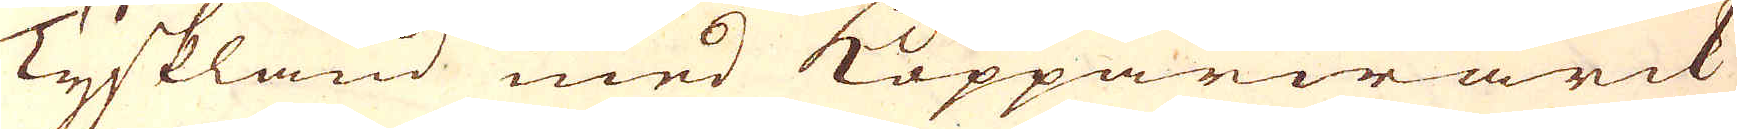Tyskland med Kopparwärck
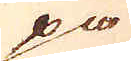på
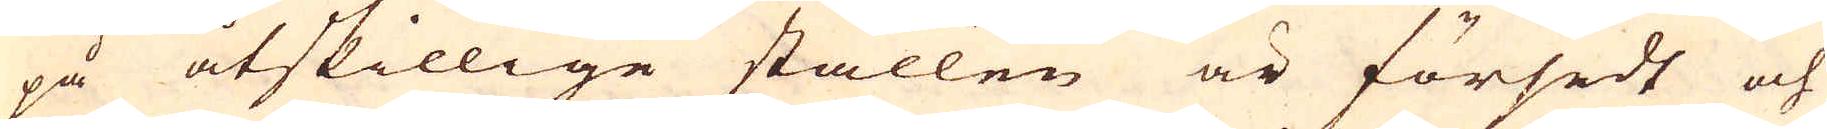på åtskillige ställen är försedt och
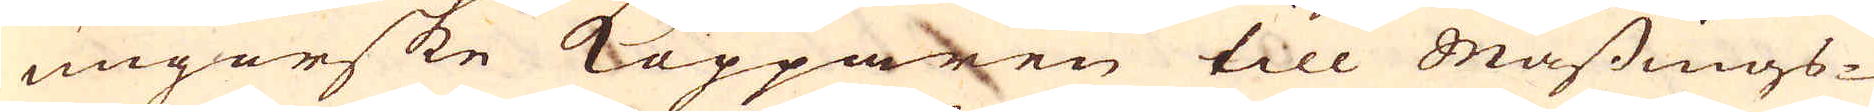ungerske Kopparen till mässings-
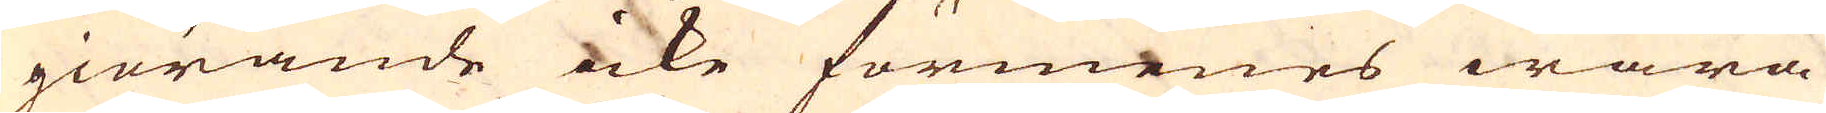giörande icke förmenes wara
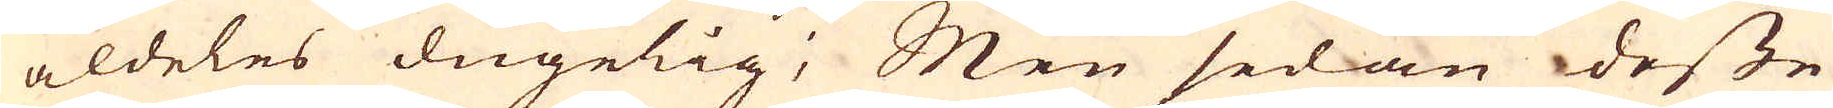aldeles dugelig; Men sedan desse
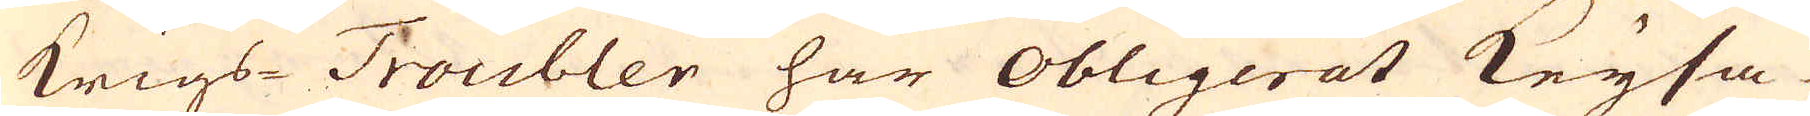Krigs-Troubler har obligerat Keysa-
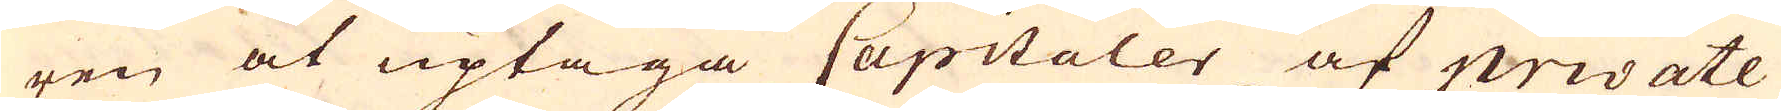ren at uptaga Capitaler af private
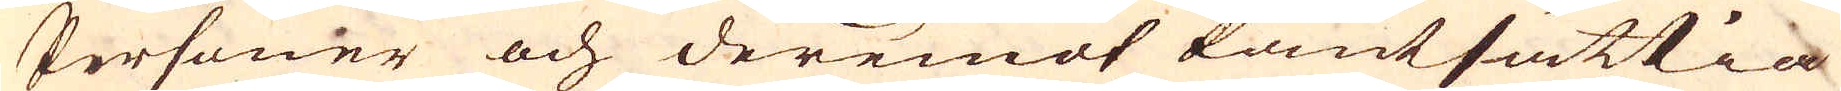Personer och deremot Pantsättia
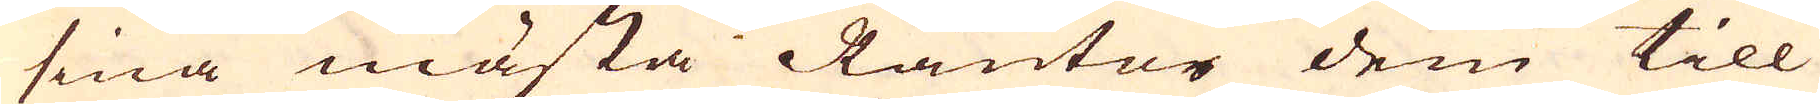sina mästa Räntor dem till
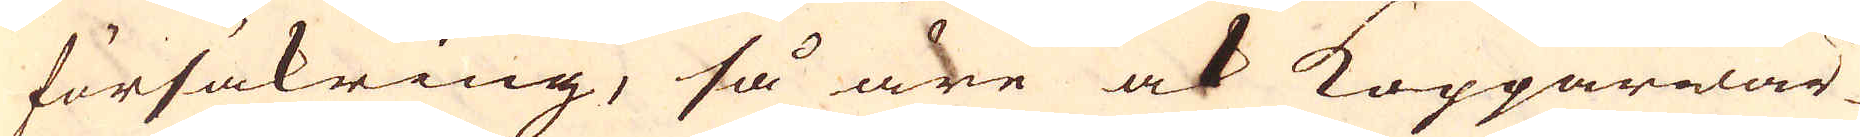försäkring, så äre ock Kopparwär-
